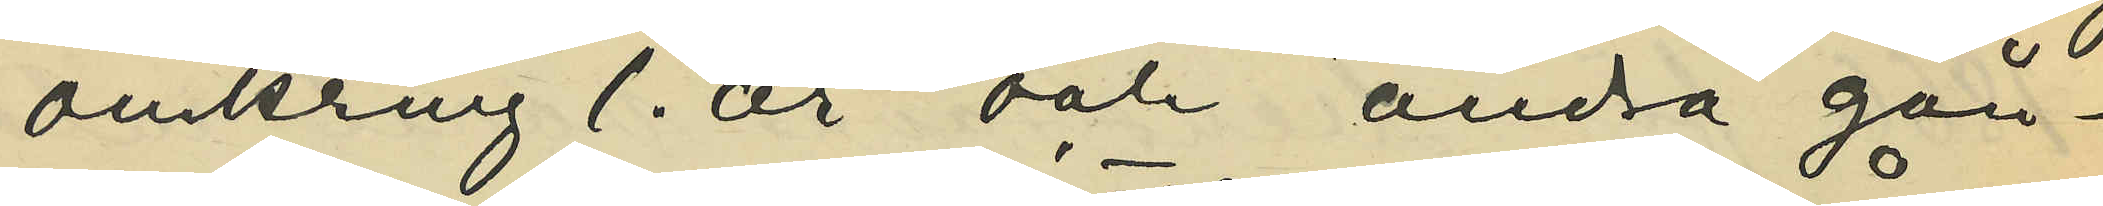omkring 1. år och andra gån¬
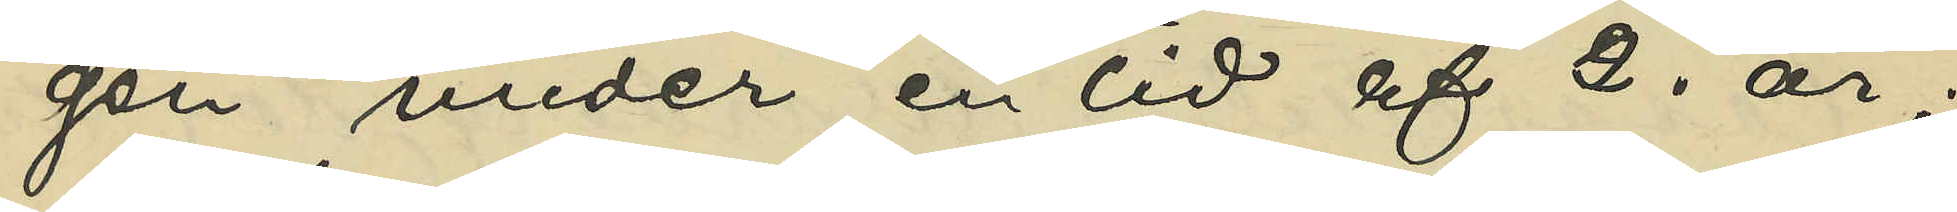gen under en tid af 2. år;
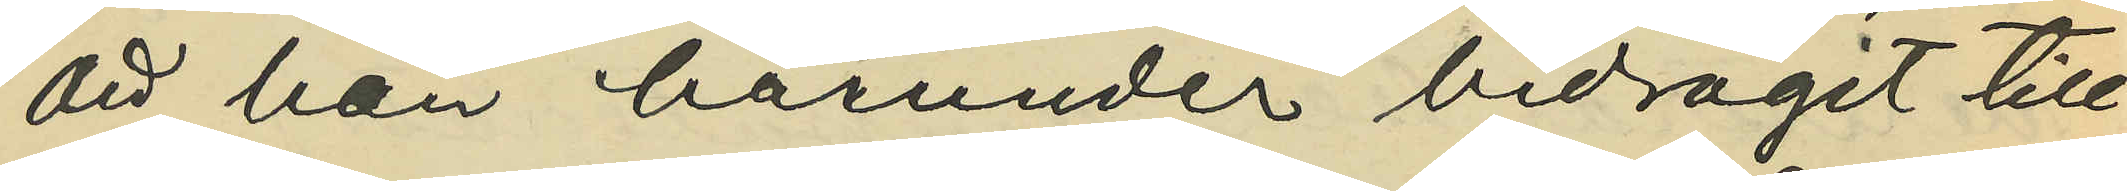att han härunder bidragit till
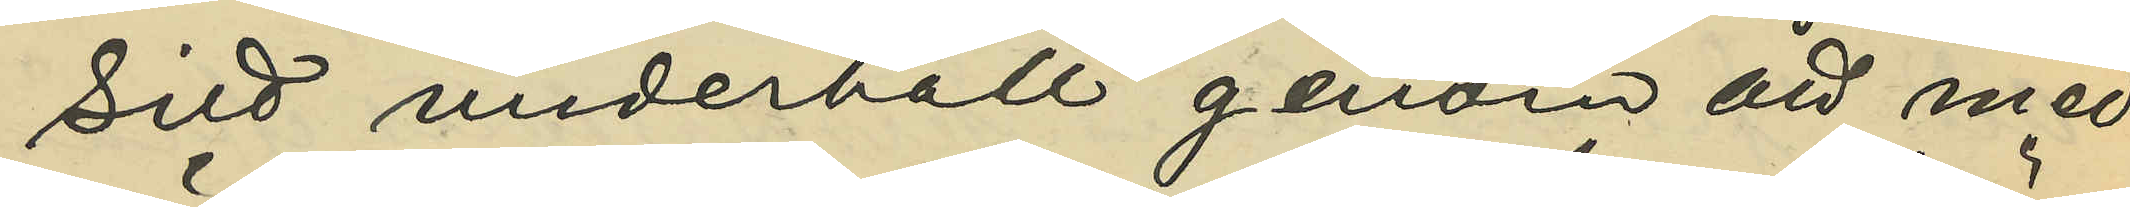sitt underhåll genom att med
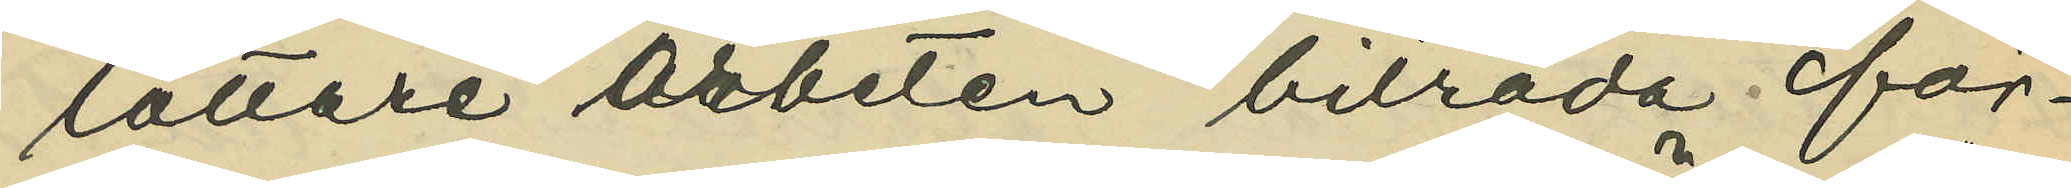lättare arbete biträda för¬
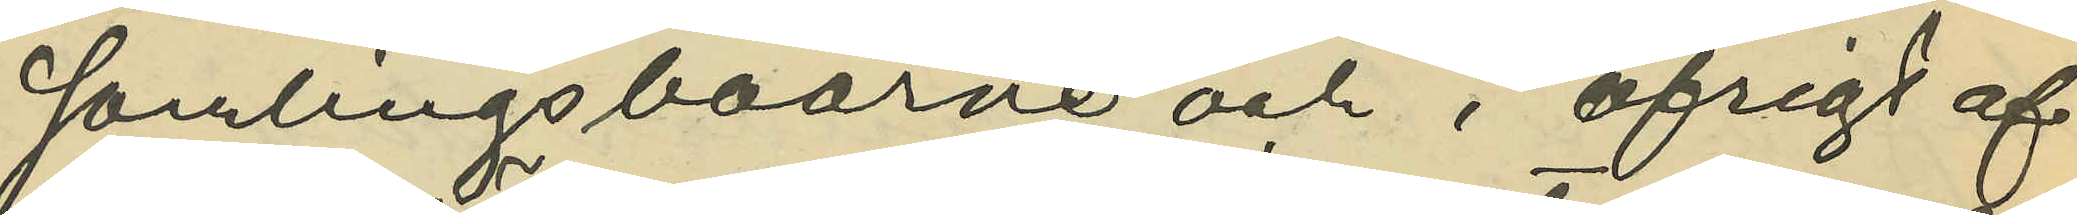samlingsboarne och i öfrigt af
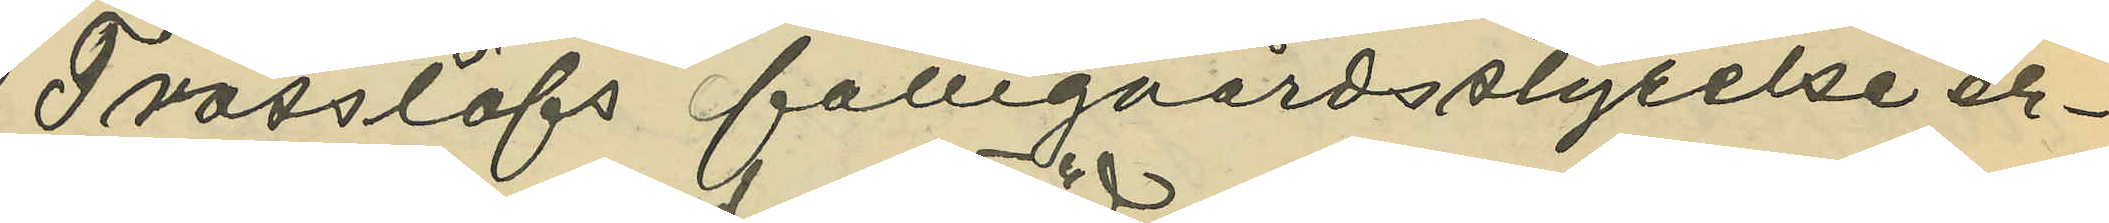Trässlöfs fattigvårdsstyrelse er¬
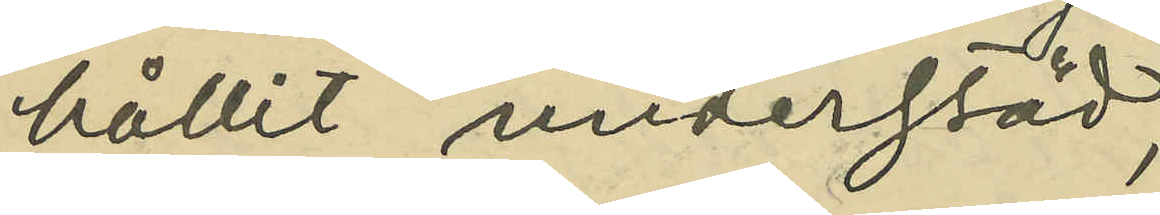hållit understöd;
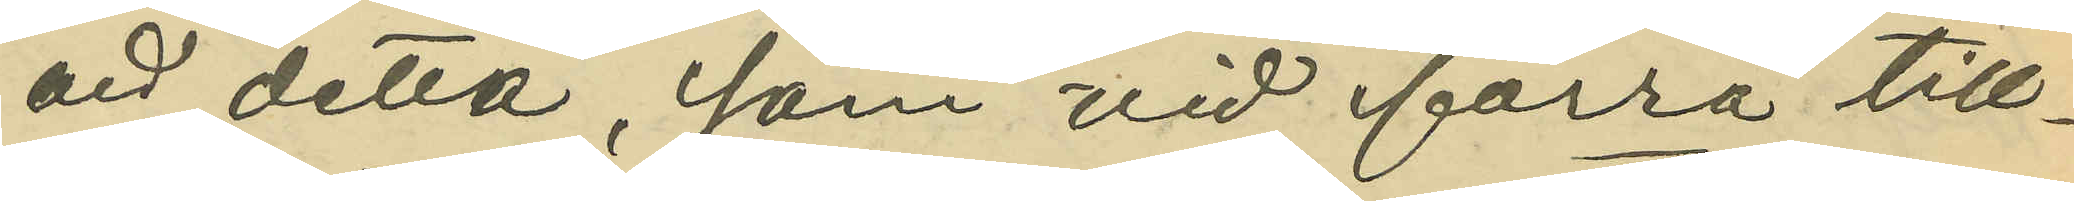att detta, som vid förra till¬
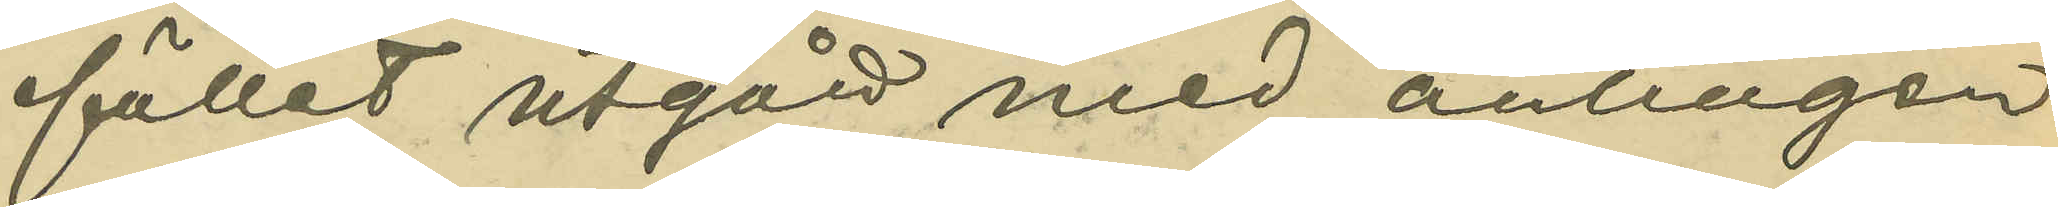fället utgått med antingen
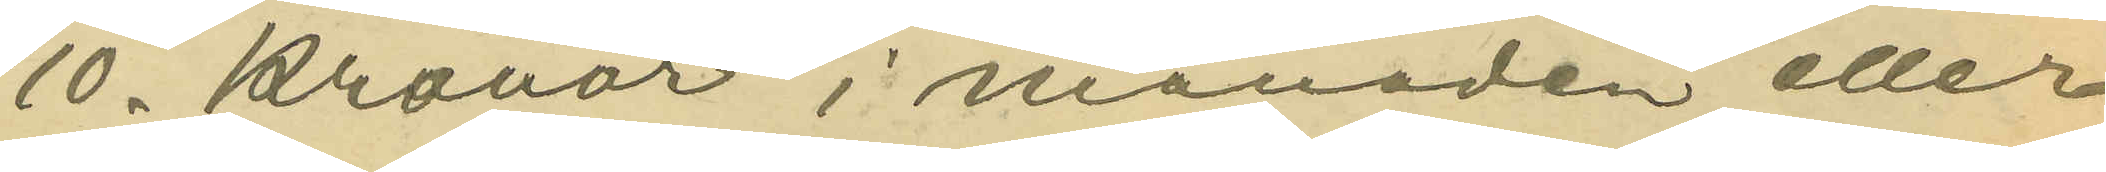10. Kronor i månaden eller
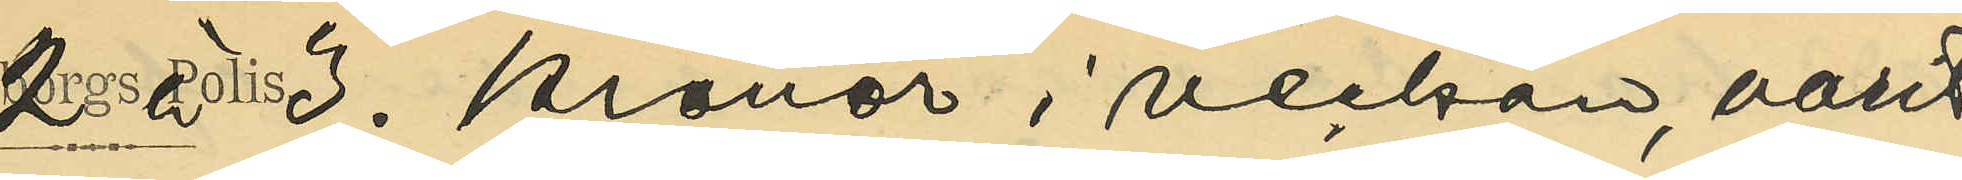2. à 3. Kronor i veckan, varit
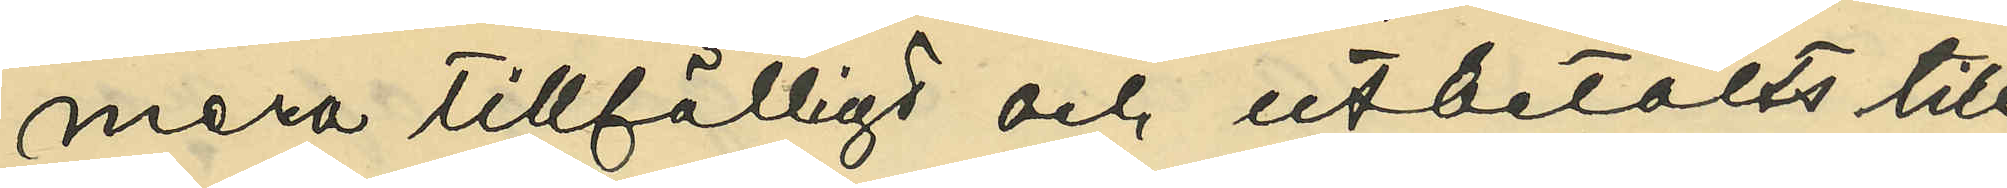mera tillfälligt och utbetalts till
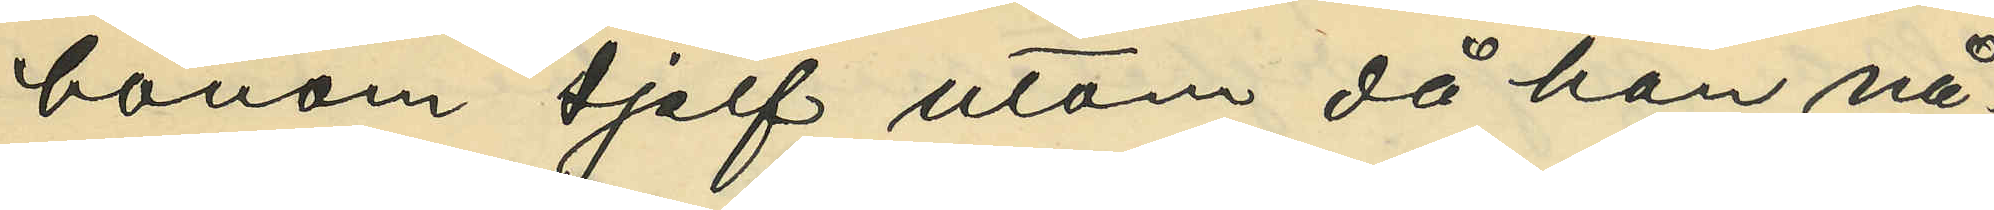honom sjelf utom då han nå¬
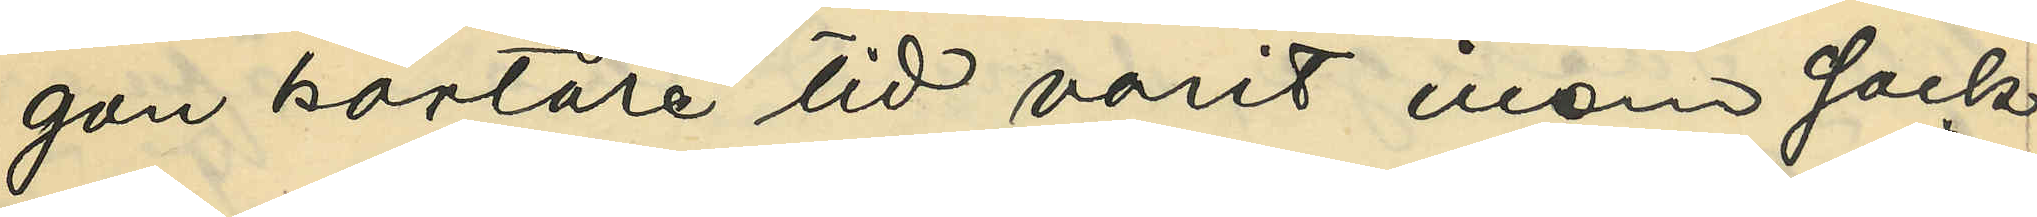gon kortare tid varit inom sock¬
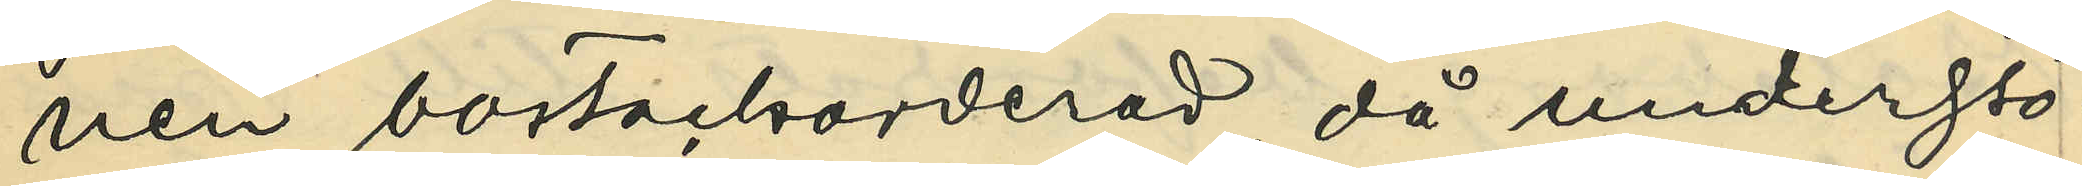nen bortackorderad, då understö¬
